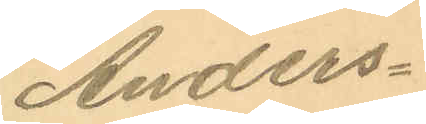Anders¬
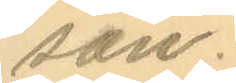son.
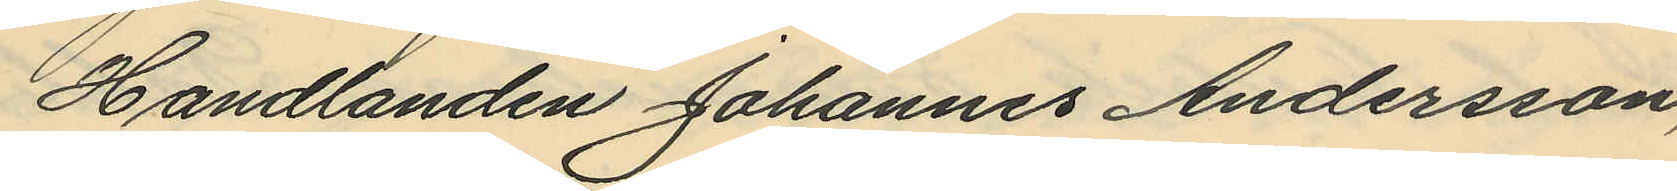Handlanden Johannes Andersson,
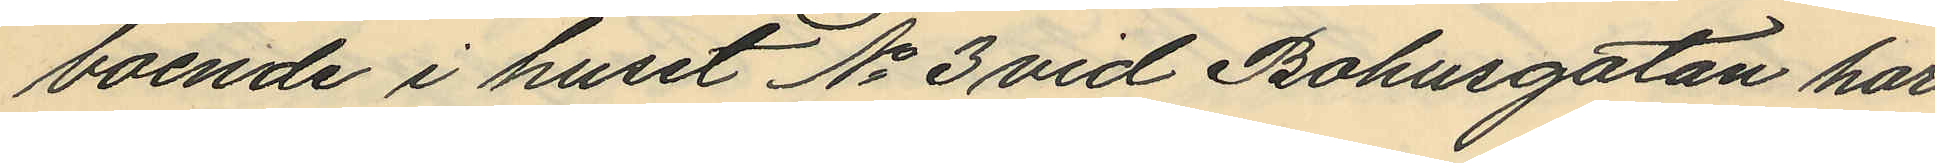boende i huset No 3 vid Bohusgatan har
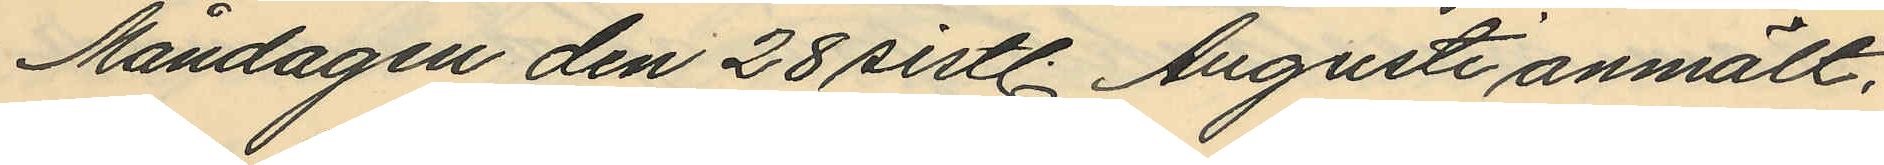Måndagen den 28 sistl. Augusti anmält,
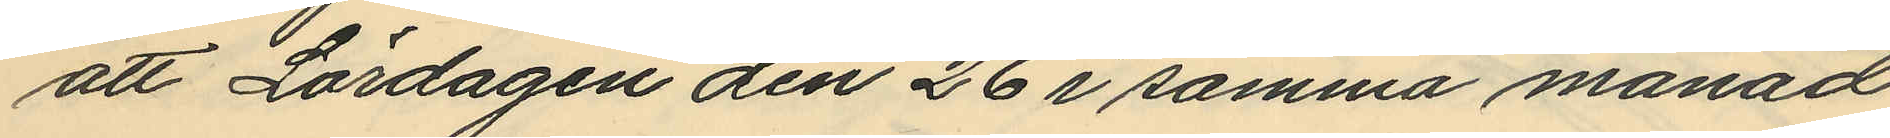att Lördagen den 26 i samma månad
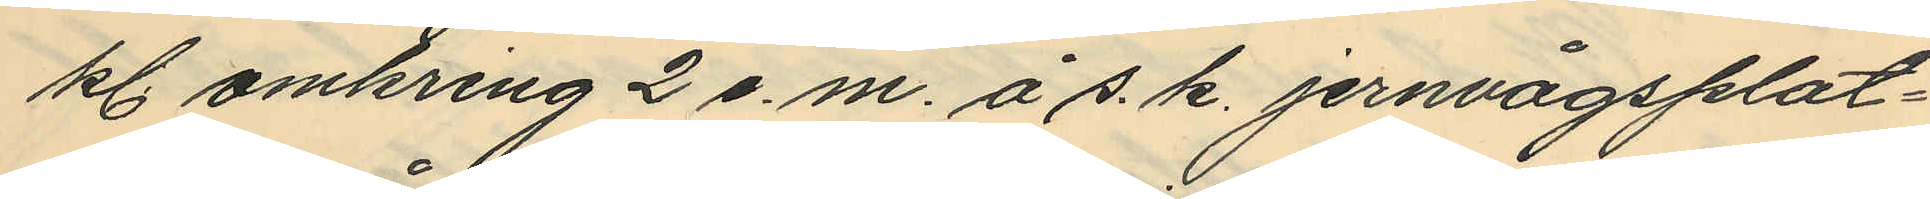kl. omkring 2 e.m. å s. k. jernvågsplat¬
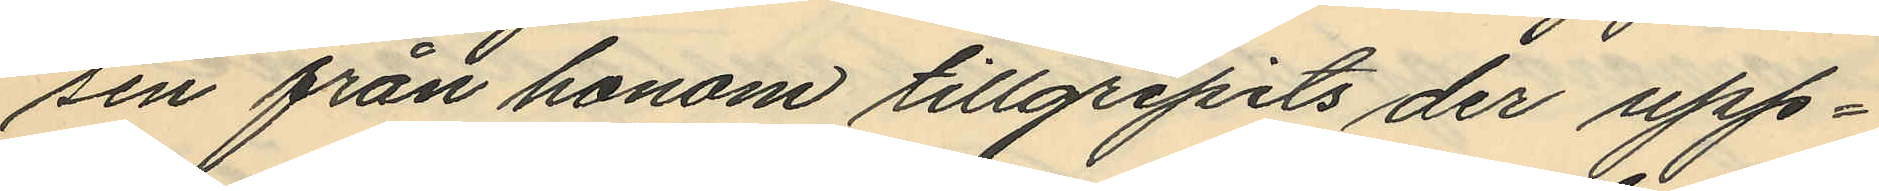sen från honom tillgripits der upp¬
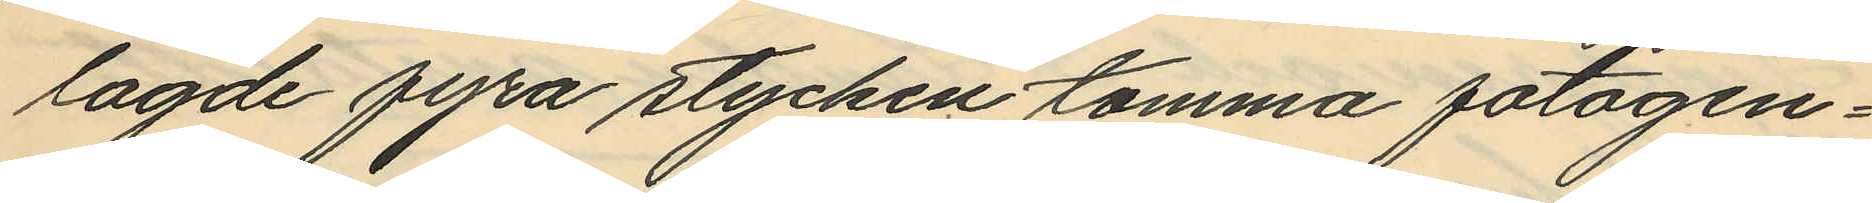lagde fyra stycken tomma fotogen¬
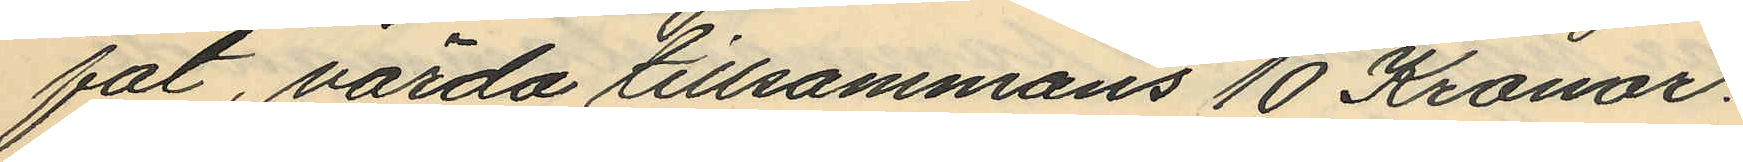fat, värda tillsammans 10 Kronor.
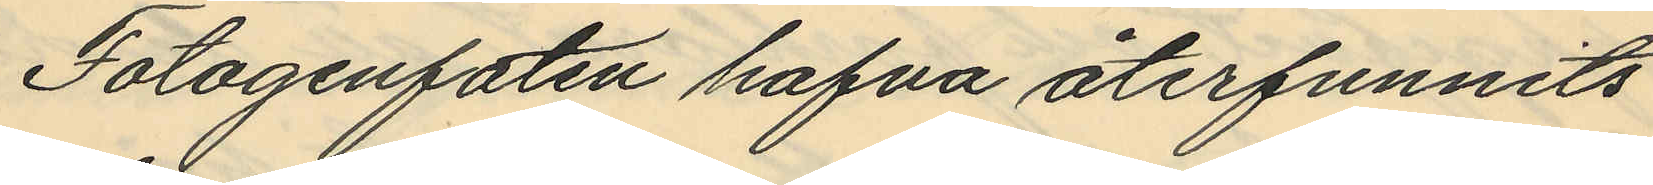Fotogenfaten hafva återfunnits
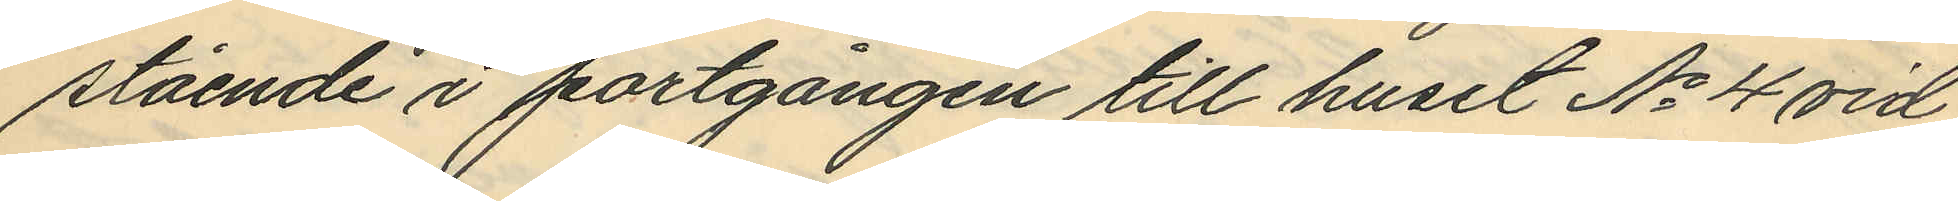stående i portgången till huset No 4 vid
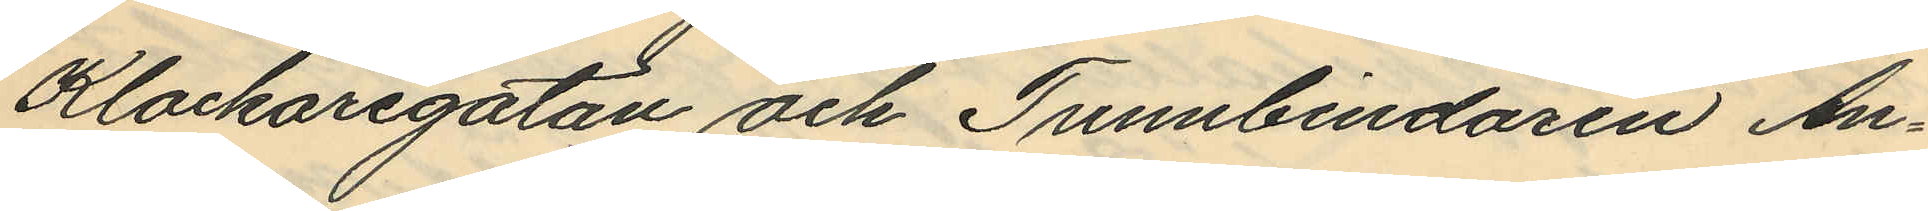Klockaregatan och Tunnbindaren An¬
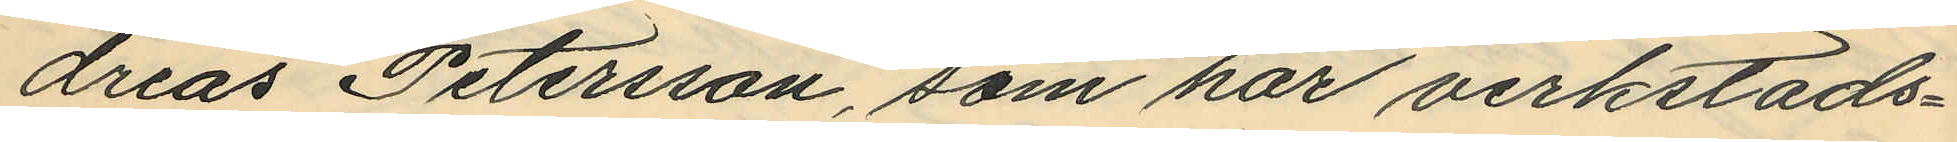dreas Petersson, som har verkstads¬
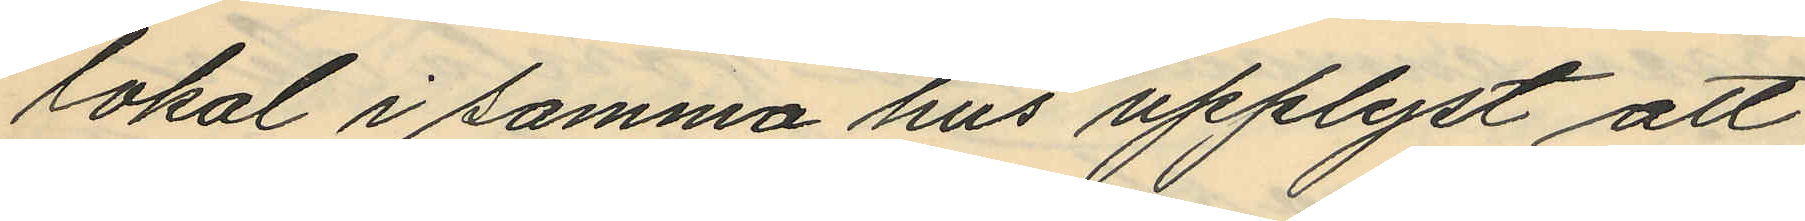lokal i samma hus upplyst att
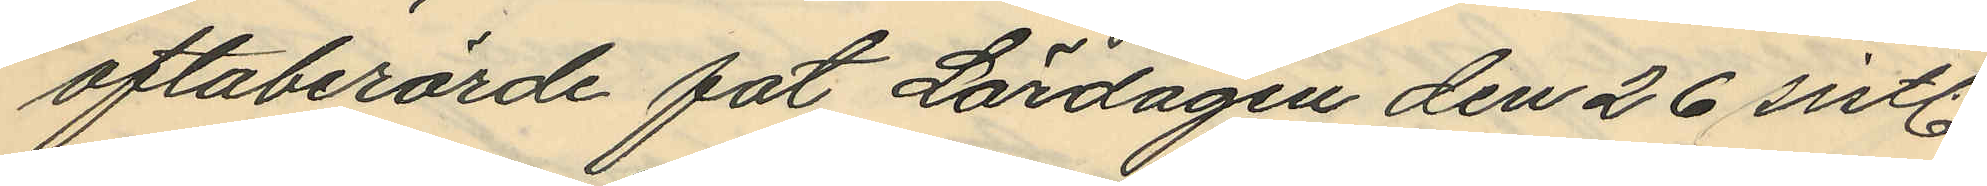oftaberörde fat Lördagen den 26 sistl.
